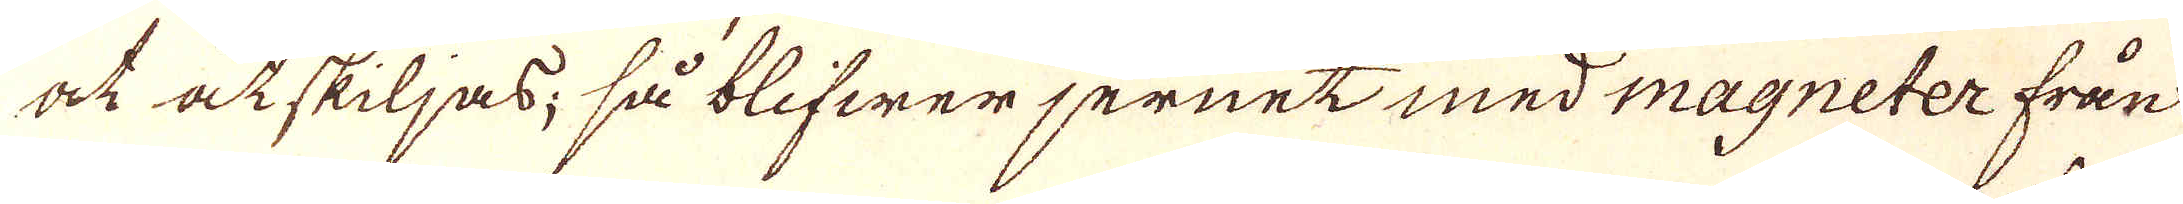at åtskiljas; så blifwer jernet med magneter från
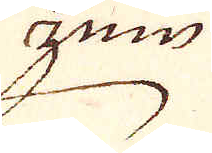zin
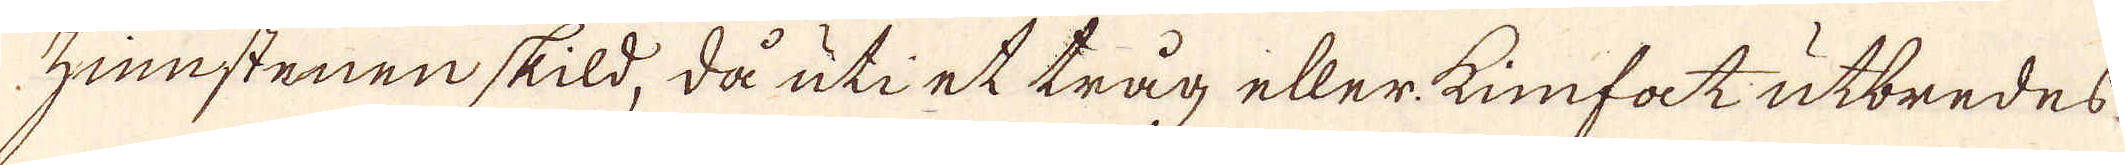zinstenen skild, då uti et tråg eller kinfat utbredes
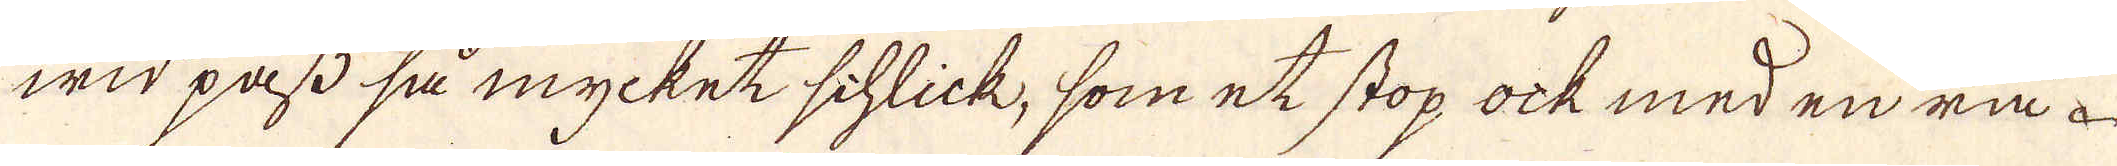wid pass så mycket schlick, som et stop ock med en rå
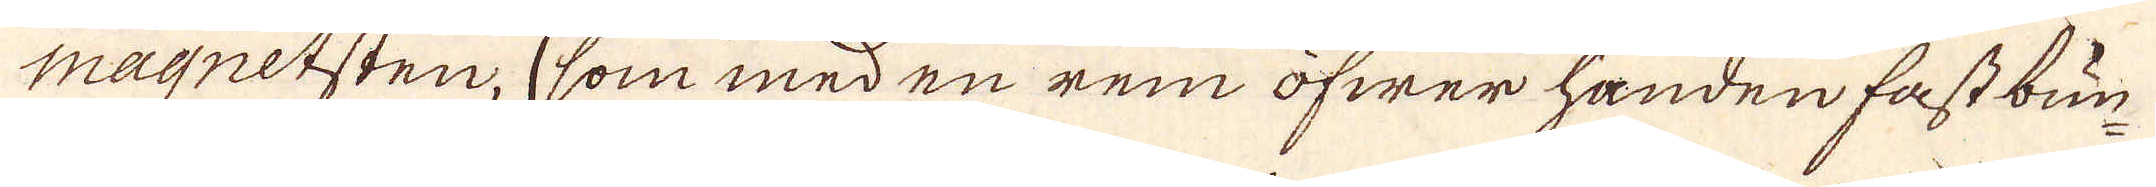magnetsten, som med en rem öfwer handen fast bun-
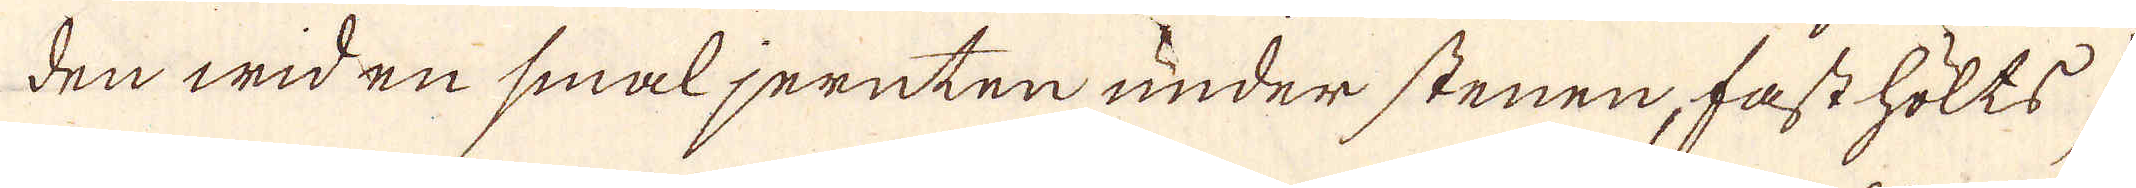den wid en smal jernten under stenen, fast hölts)
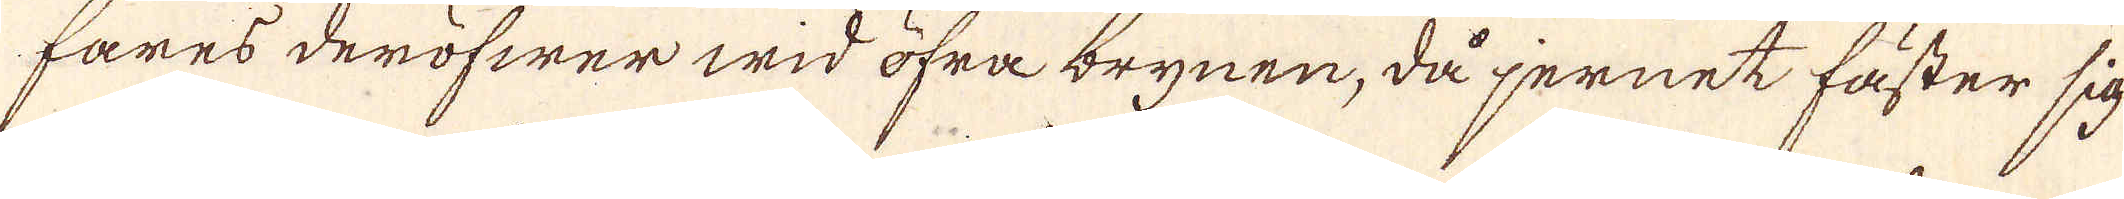fares deröfwer wid öfra brynen, då jernet fäster sig
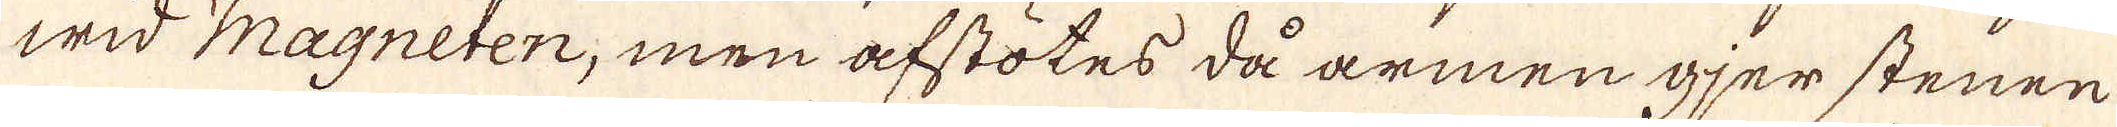wid Magneten, men afstötes då armen gjer stenen
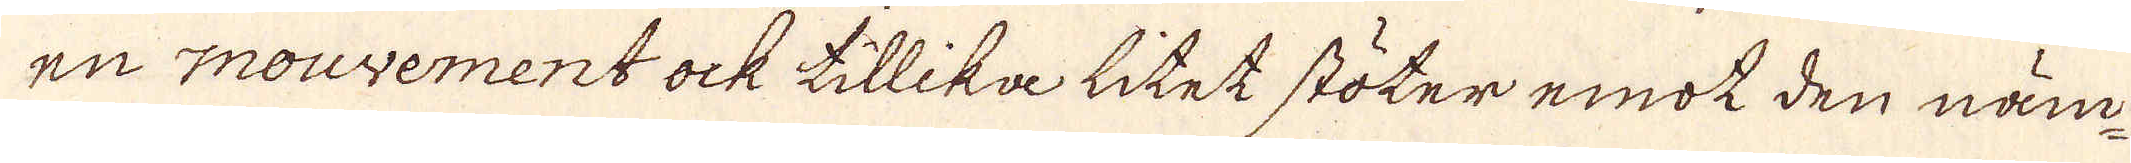en mouvement ock tillika litet stöter emot den näm-
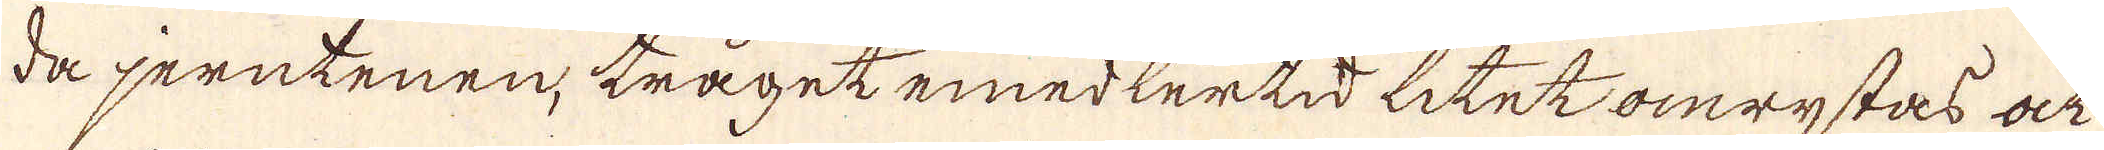da jerntenen, tråget emedlertid litet omrystas ock
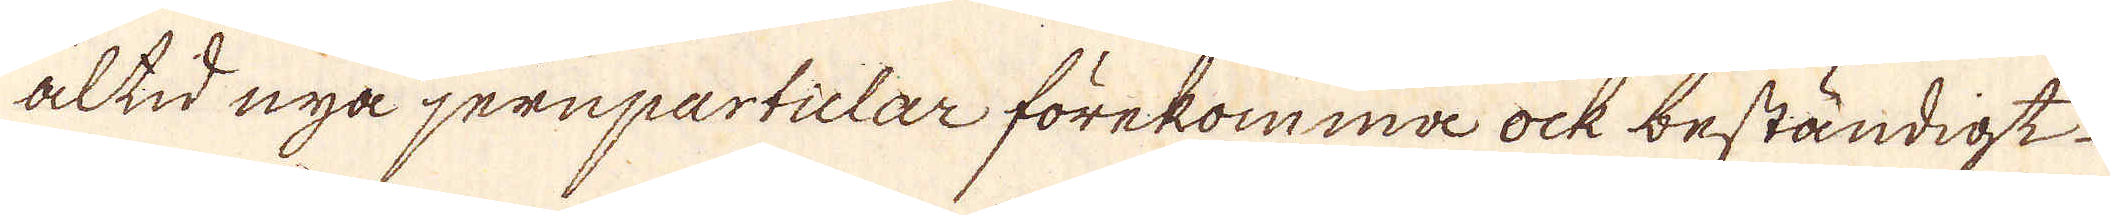altid nya jernparticlar förekomma ock beständigt
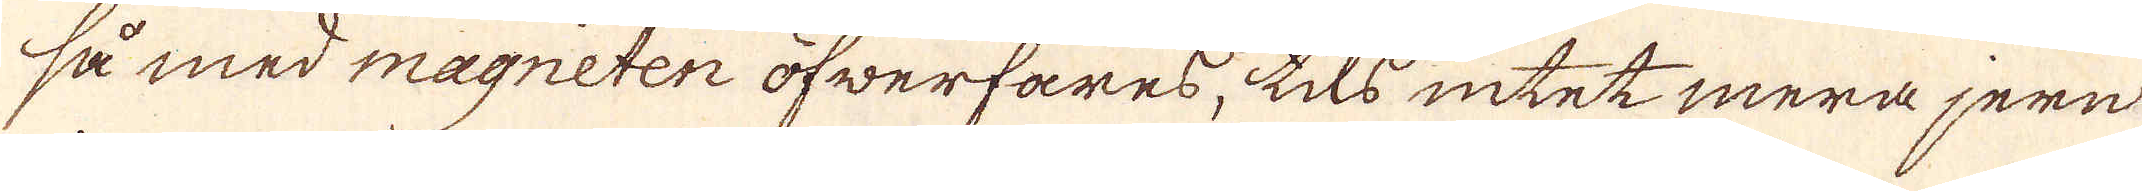så med magneten öfwerfares, tils intet mera jern
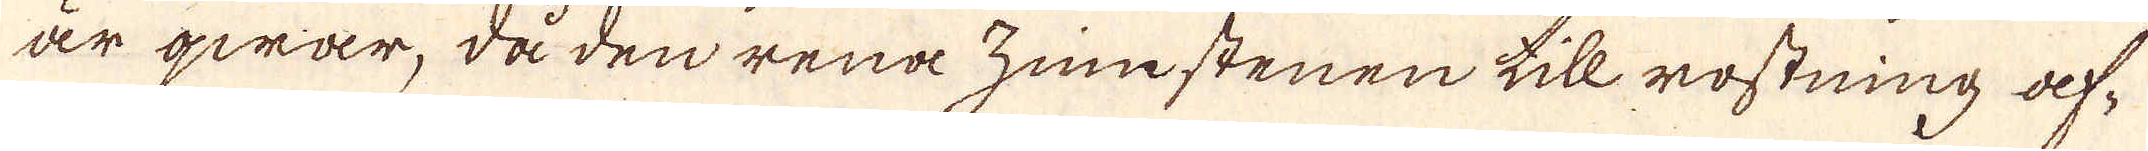är qwar, då den rena zinstenen till rostning af-
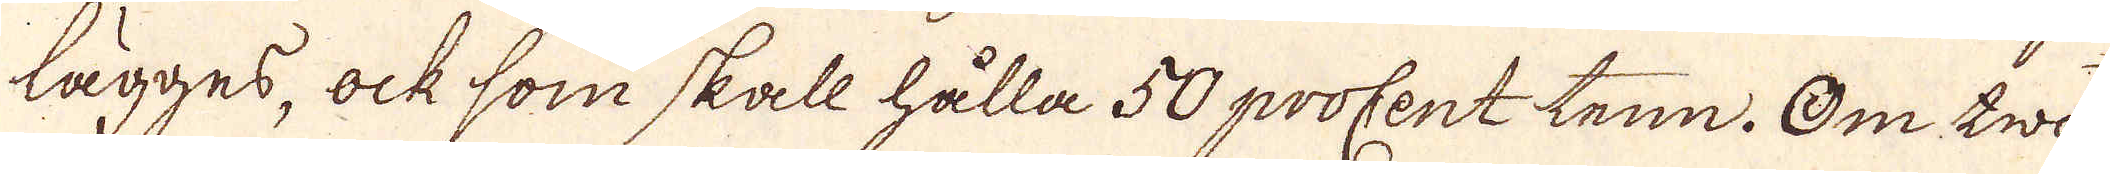lägges, ock som skall hålla 50 procent tenn. Om twå
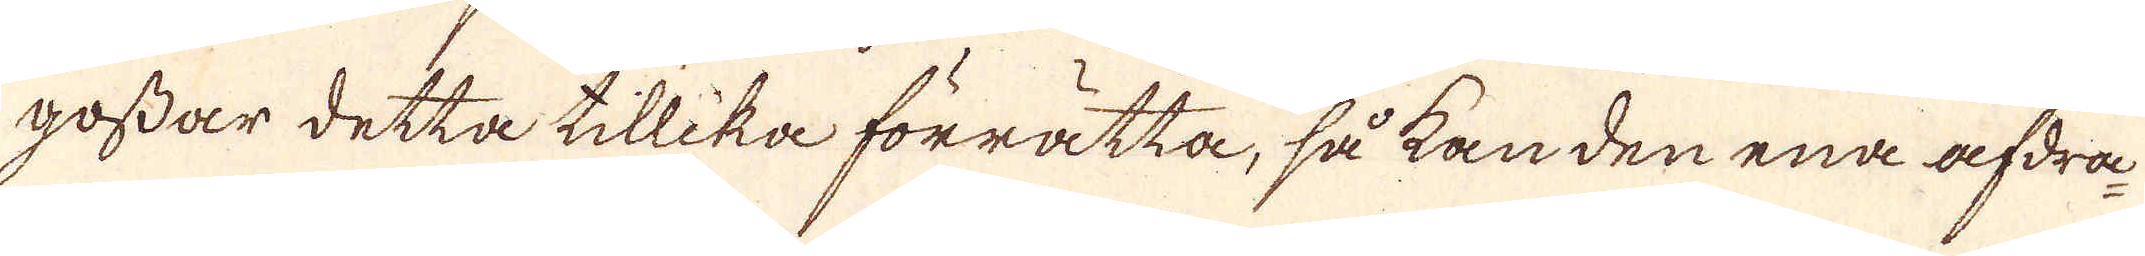gossar detta tillika förrätta, så kan den ena afdra-
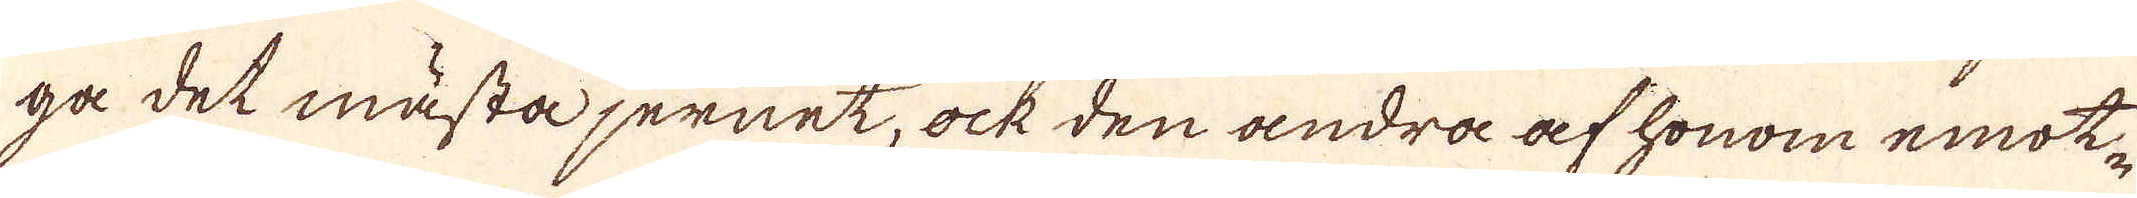ga det måsta jernet, ock den andra af honom emot-
